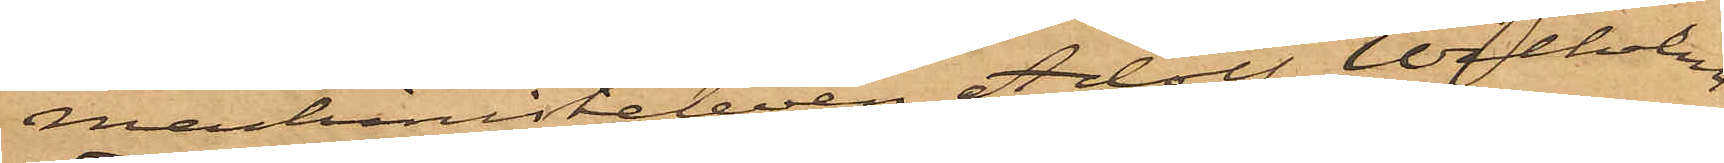maskinisteleven Adolf Wilhelm
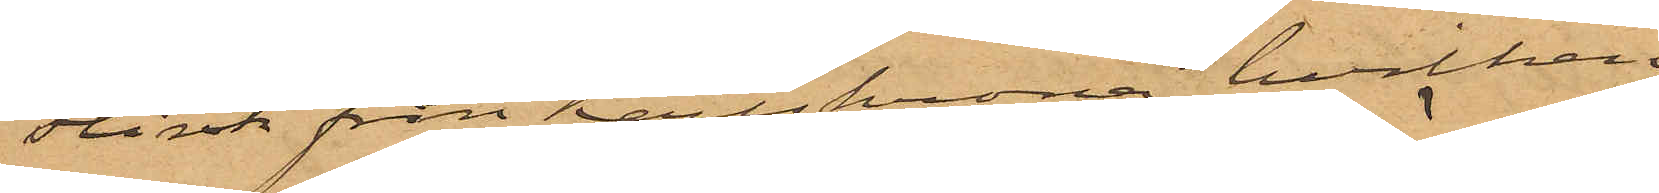Flink från Karlskrona, hvilken
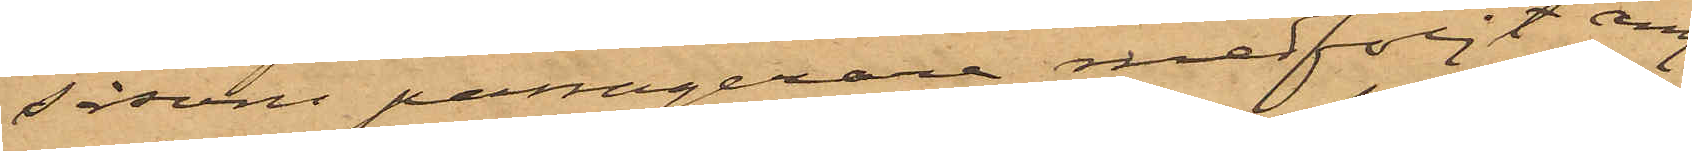såsom passagerare medföljt ång¬
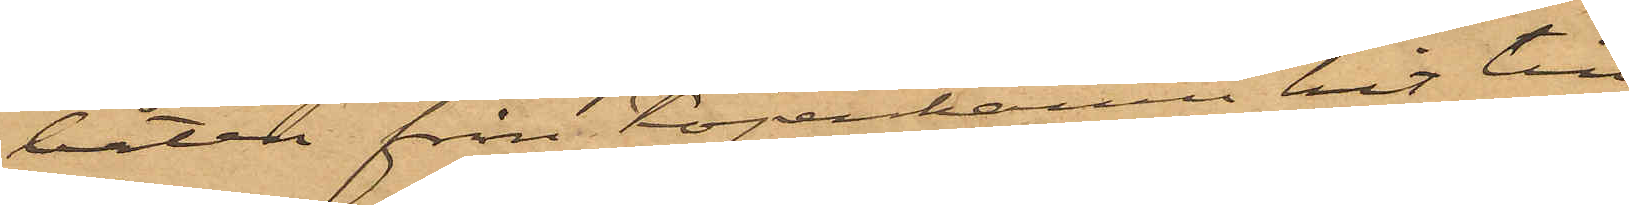båten från Köpenhamn hit till
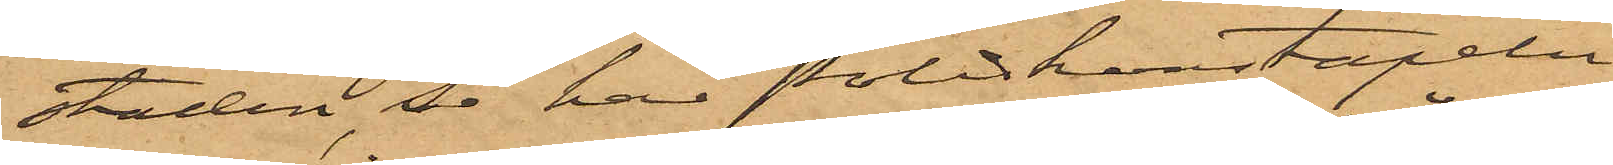staden, så har Poliskonstapeln
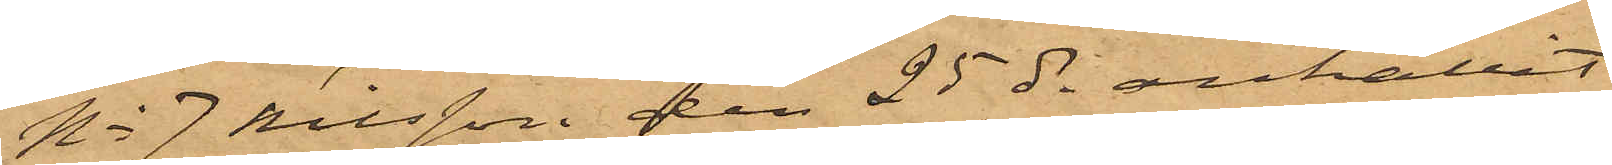No 7 Nilsson den 25 ds anhållit
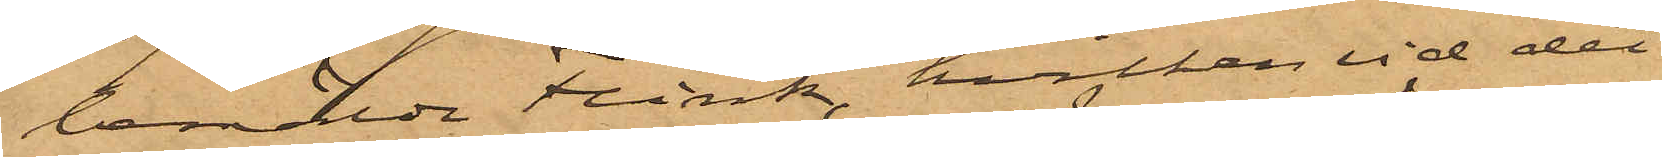bemälde Flink, hvilken vid det
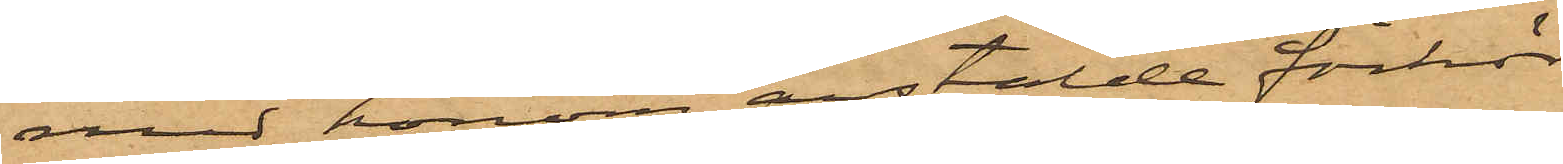med honom anstälde förhör
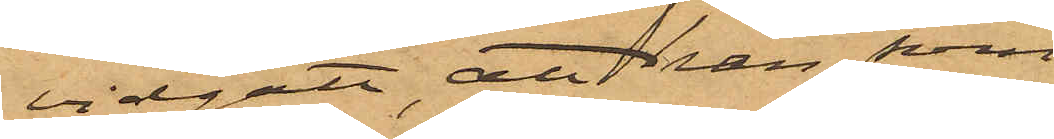vidgått, att han som
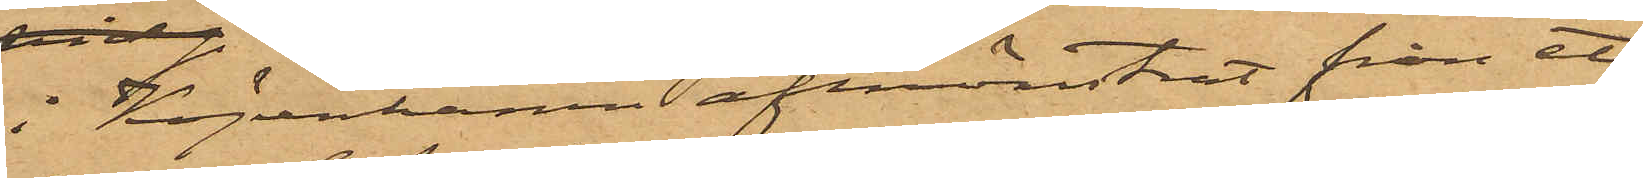i Köpenhamn afmönstrat från ett
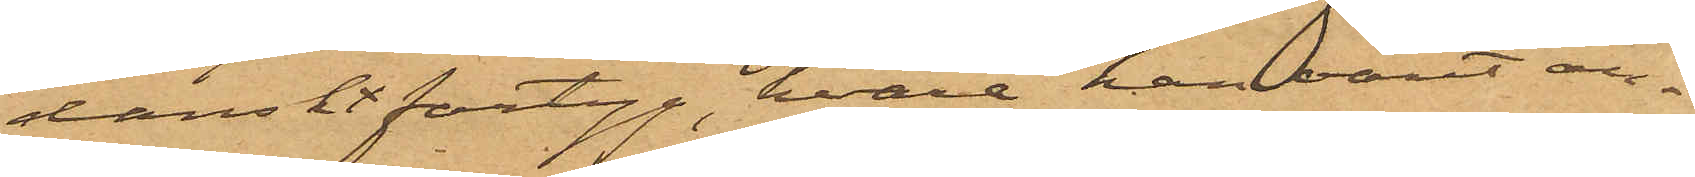danskt fartyg, hvarå han varit an¬
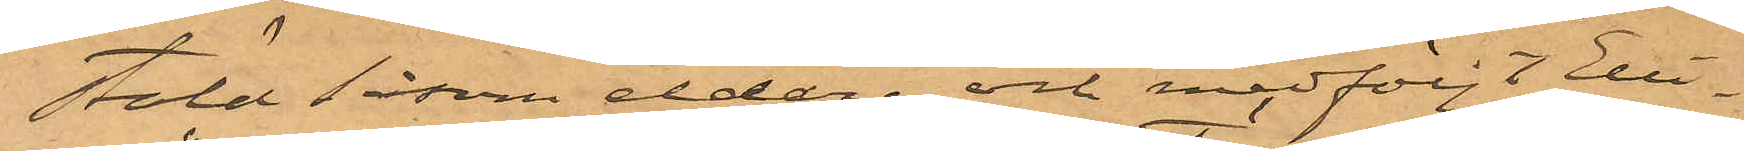stäld såsom eldare, och medföljt "Elli¬
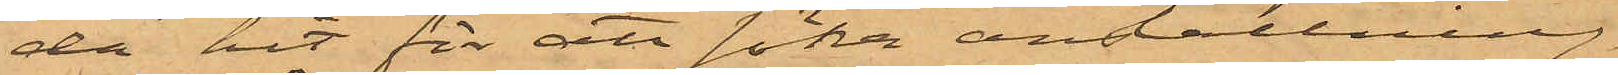da" hit för att söka anställning,
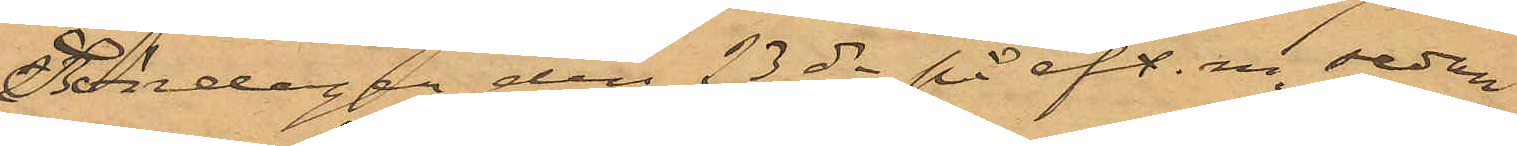Söndagen den 23 ds på eft. m. sedan
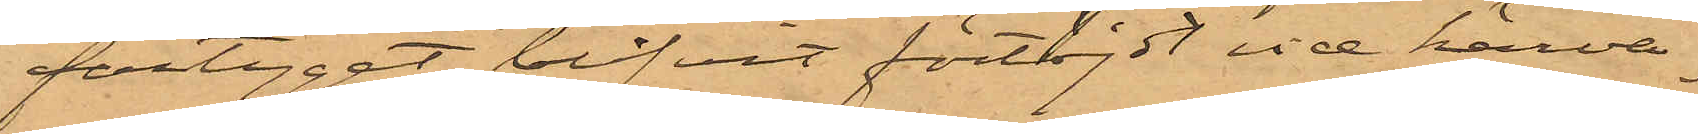fartyget blifvit förtöjdt vid härva¬
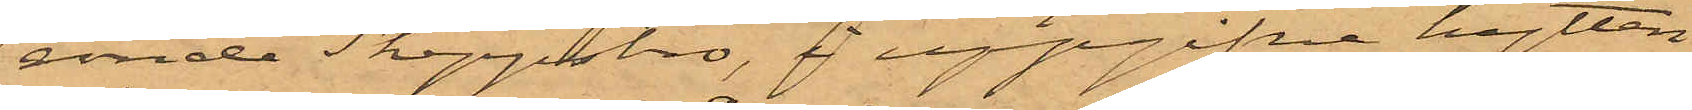ande Skeppsbro, i uppgifne hytten
